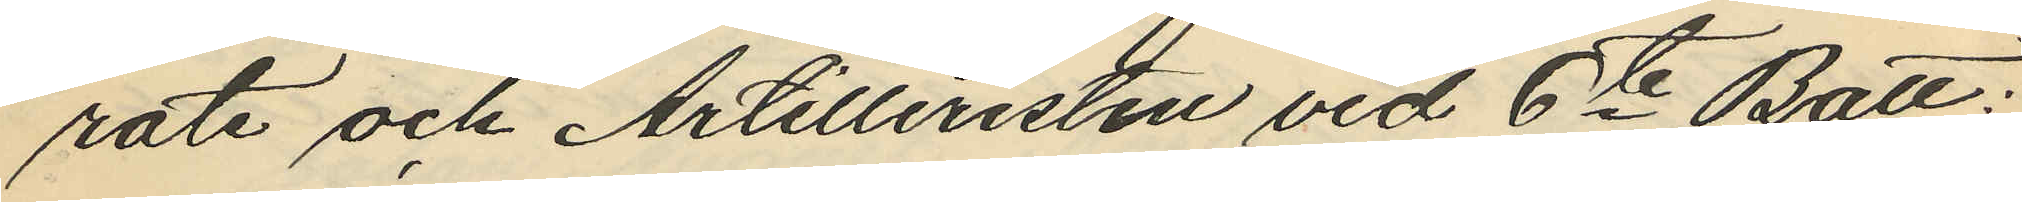rote och Artilleristen vid 6te Batt:
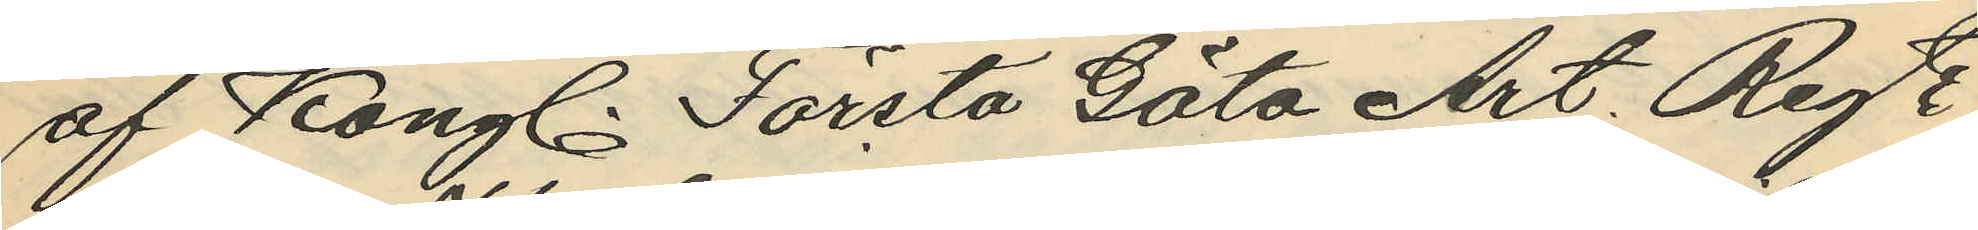af Kongl. Första Göta Art. Regte
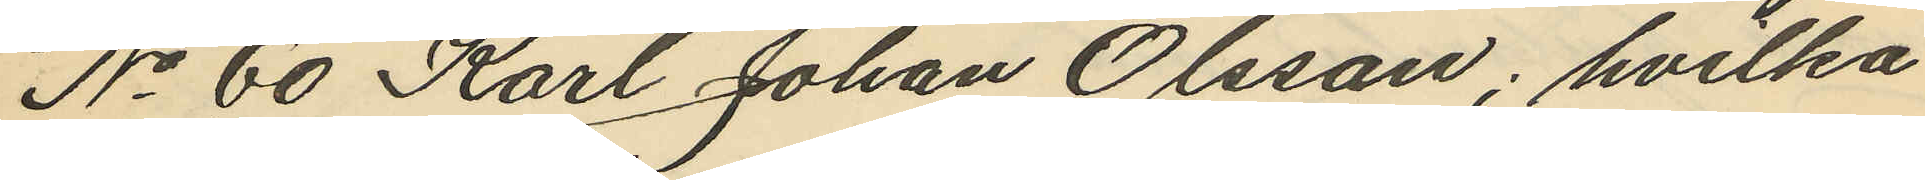No 60 Karl Johan Olsson; hvilka
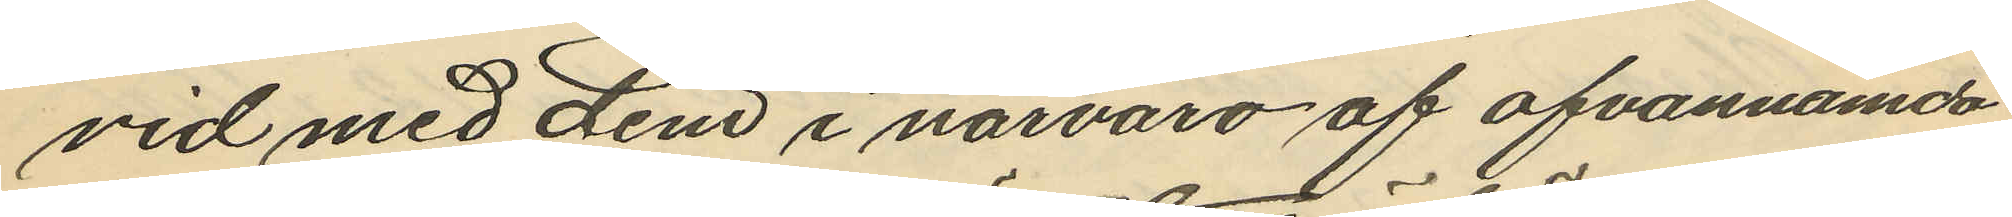vid med dem i närvaro af ofvannämda
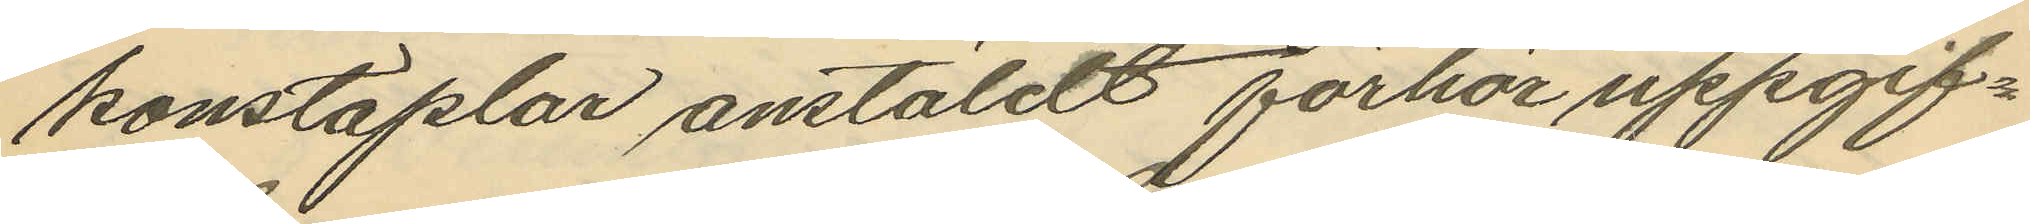konstaplar anstäldt förhör uppgif¬
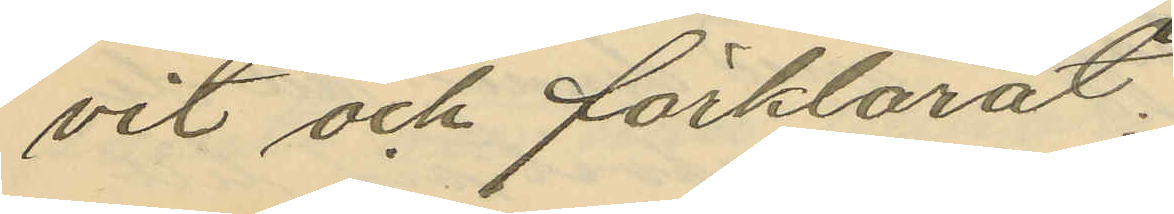vit och förklarat:
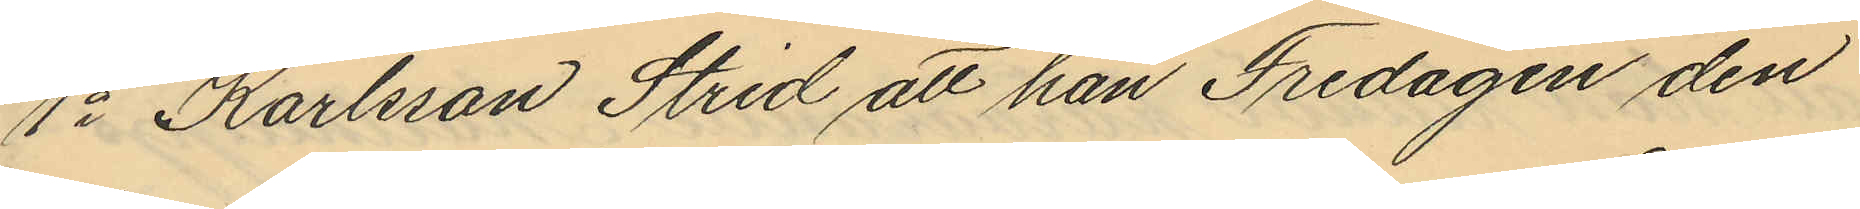1o Karlsson Strid att han Fredagen den
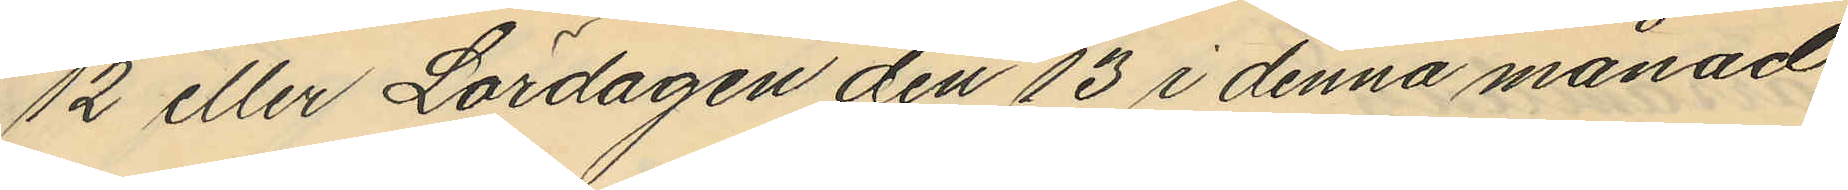12 eller Lördagen den 13 i denna månad
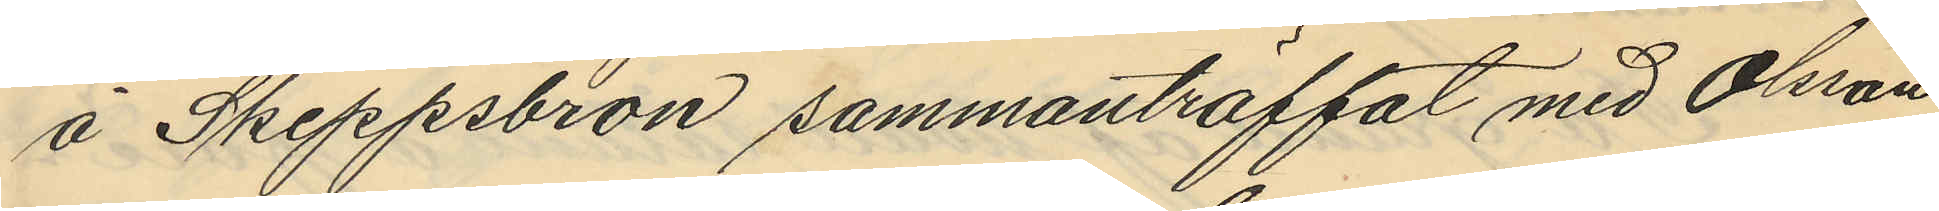å Skeppsbron sammanträffat med Olsson,
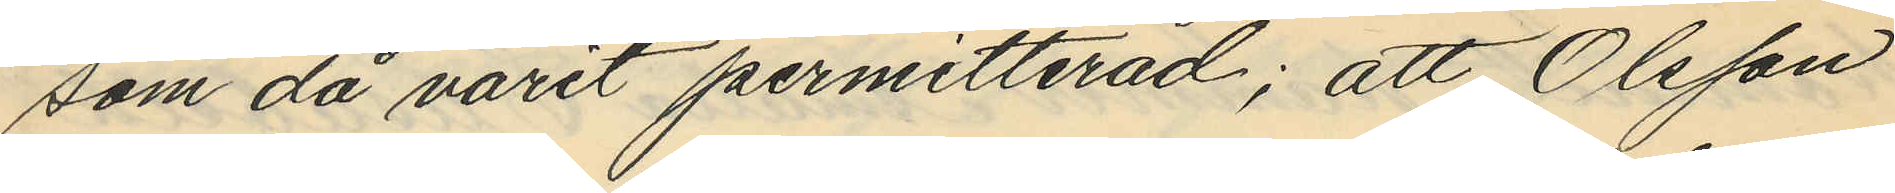som då varit permitterad; att Olsson
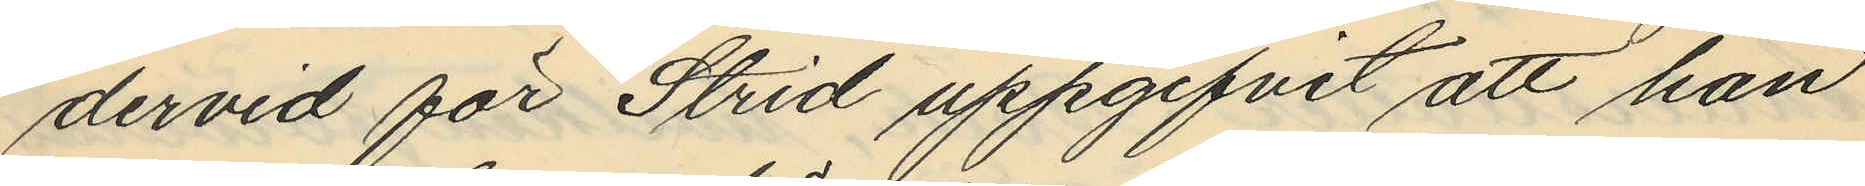dervid för Strid uppgifvit att han
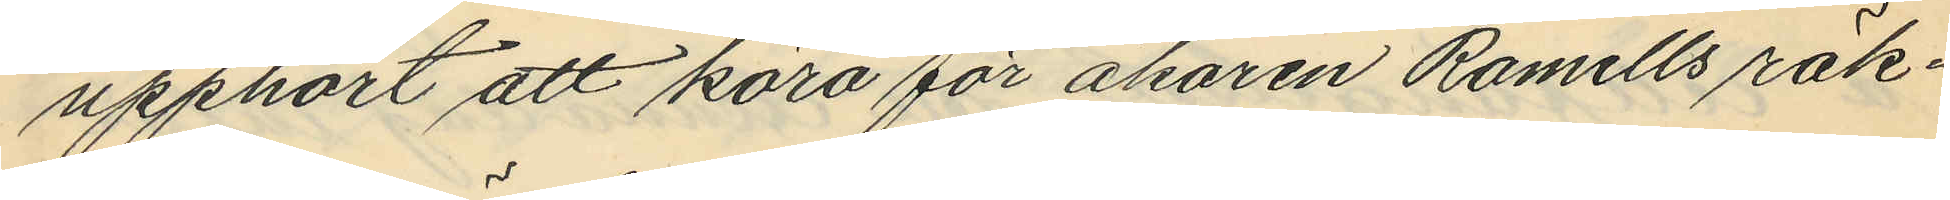upphört att köra för åkaren Romells räk¬
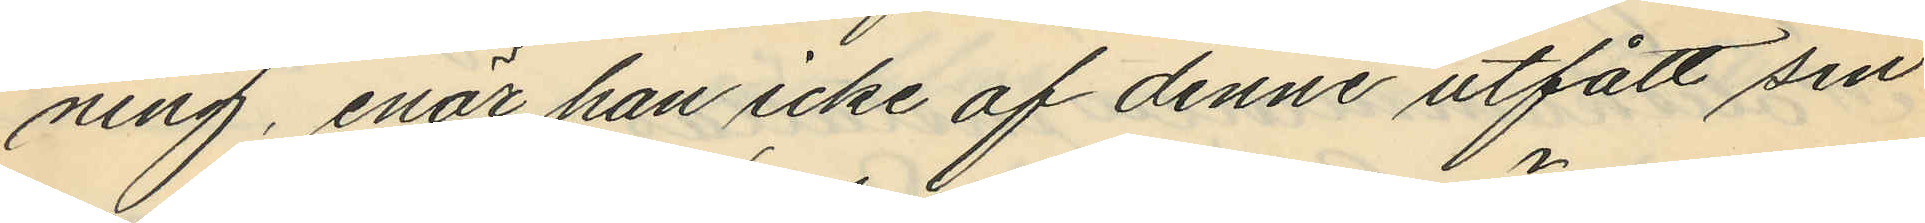ning, enär han icke af denne utfått sin
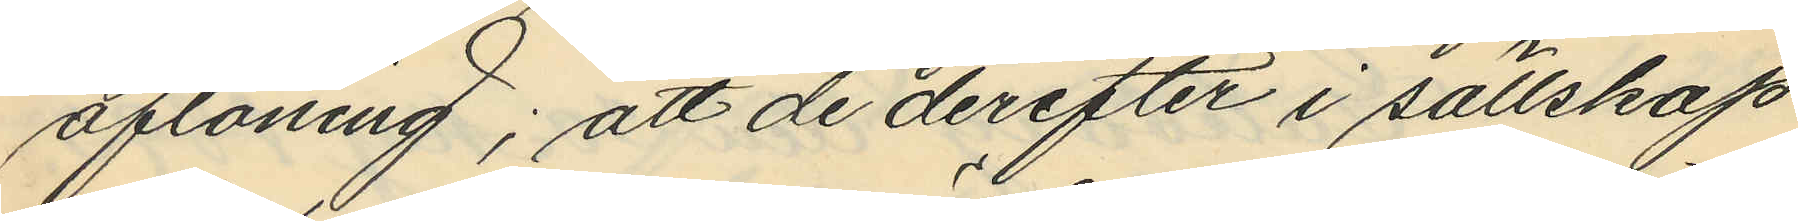aflöning; att de derefter i sällskap
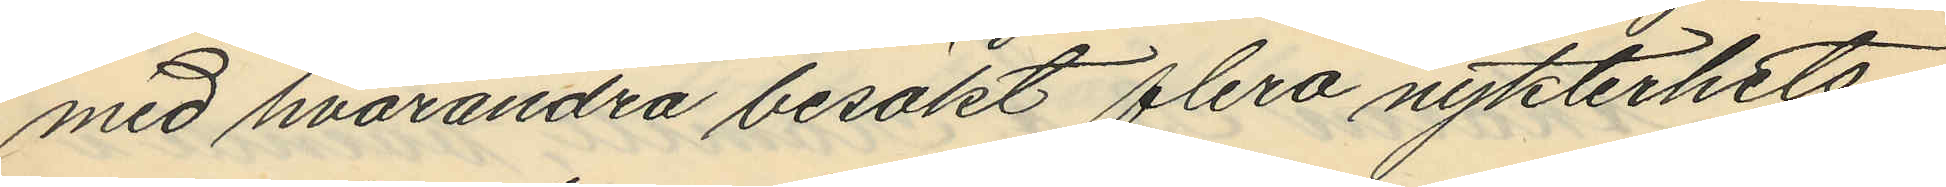med hvarandra besökt flera nykterhets¬
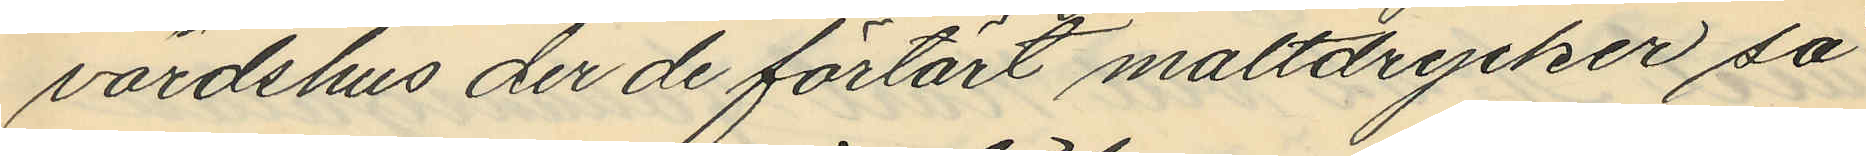värdshus der de förtärt maltdrycker så
